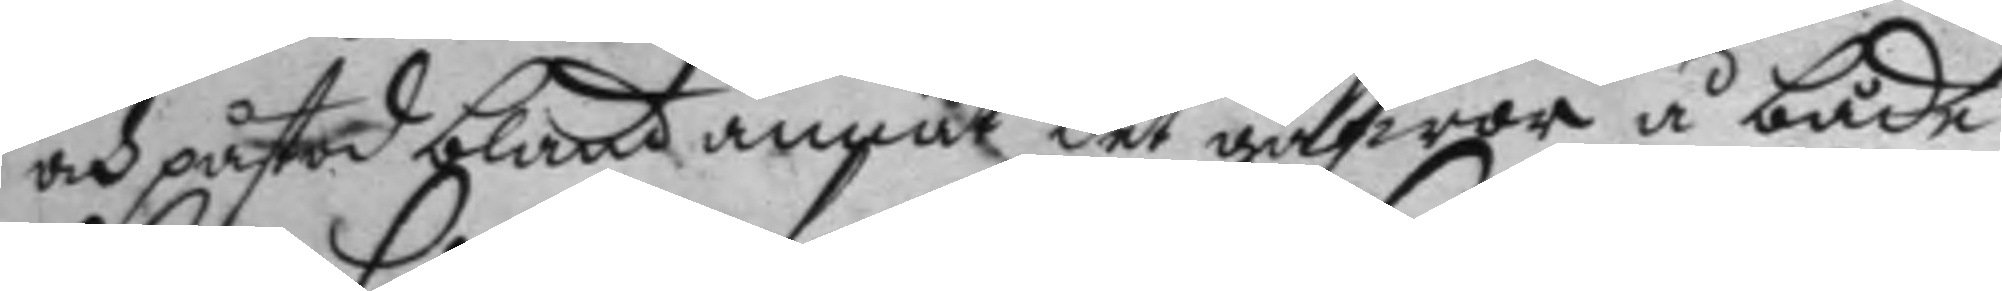och påstod bland annat det gåfwor å både
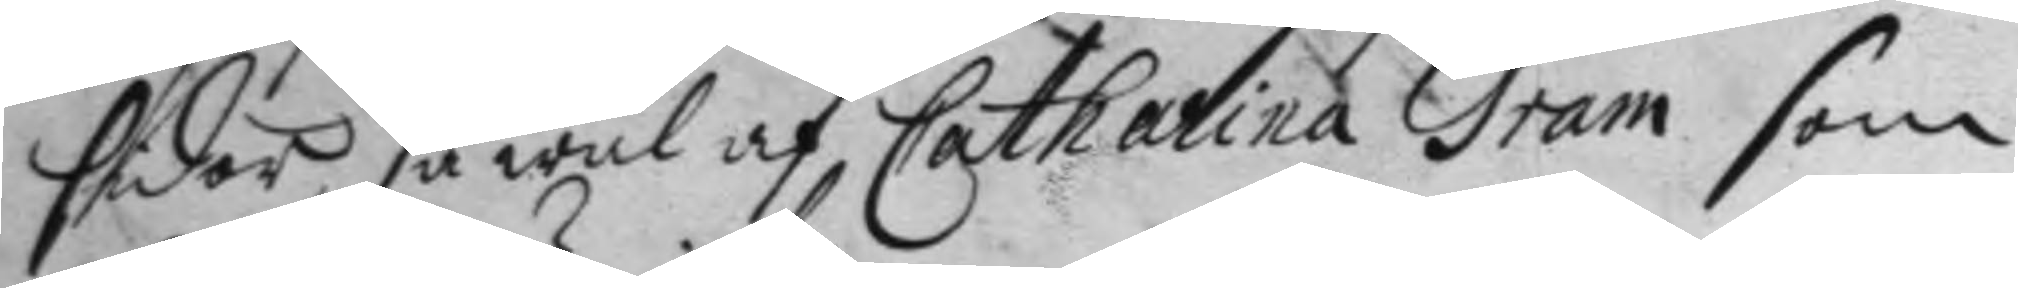sidor, så wäl af Catharina Gram som
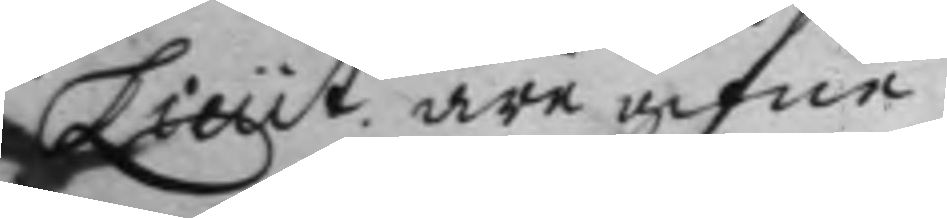Lieut. äre gifne.
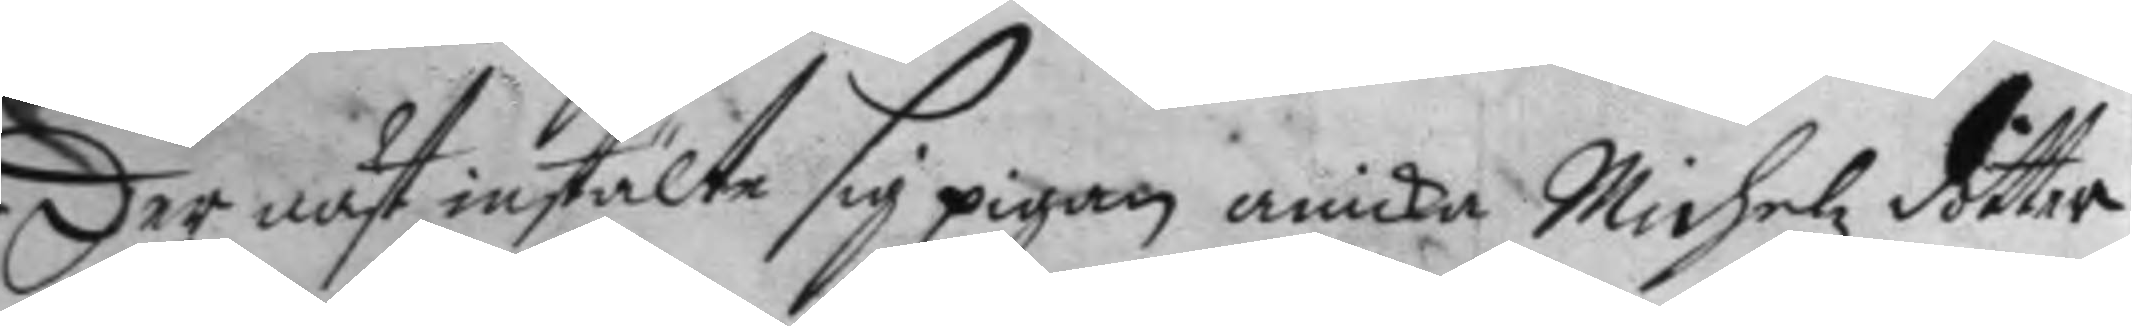Der näst instälte sig pigan anicka Michelz dotter
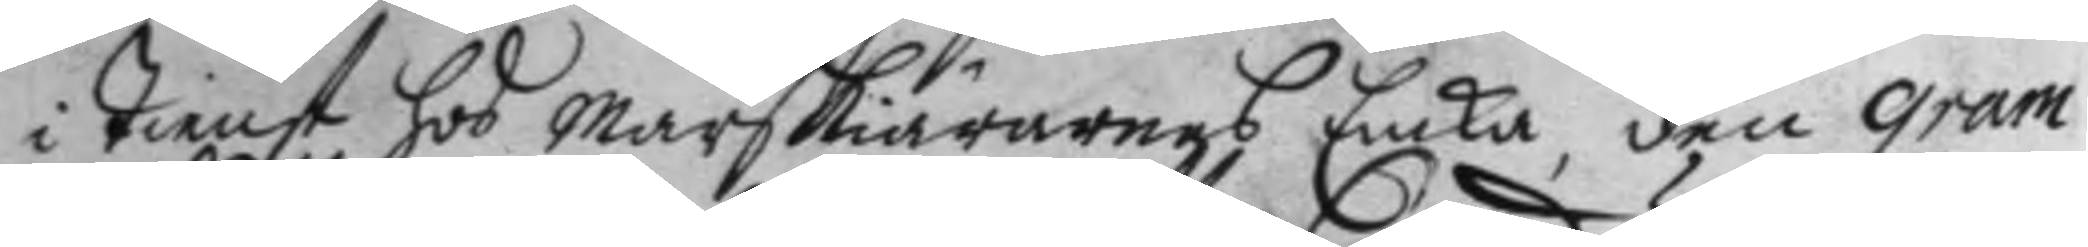i tienst hos Marskiärarens Enka, den Gram
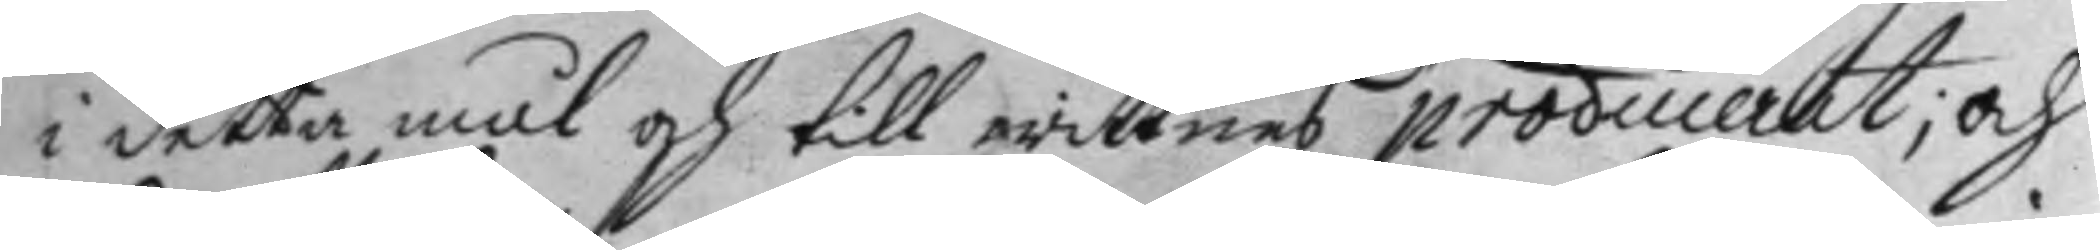i detta mål och till wittnes produceret; och
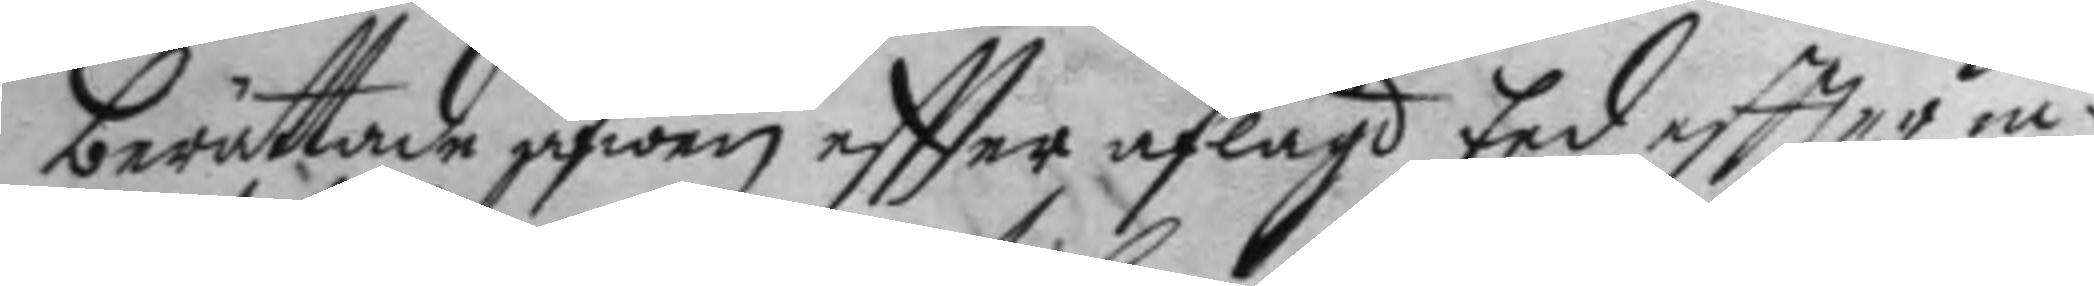berättade äfwen eftter aflagd Eed effter in¬
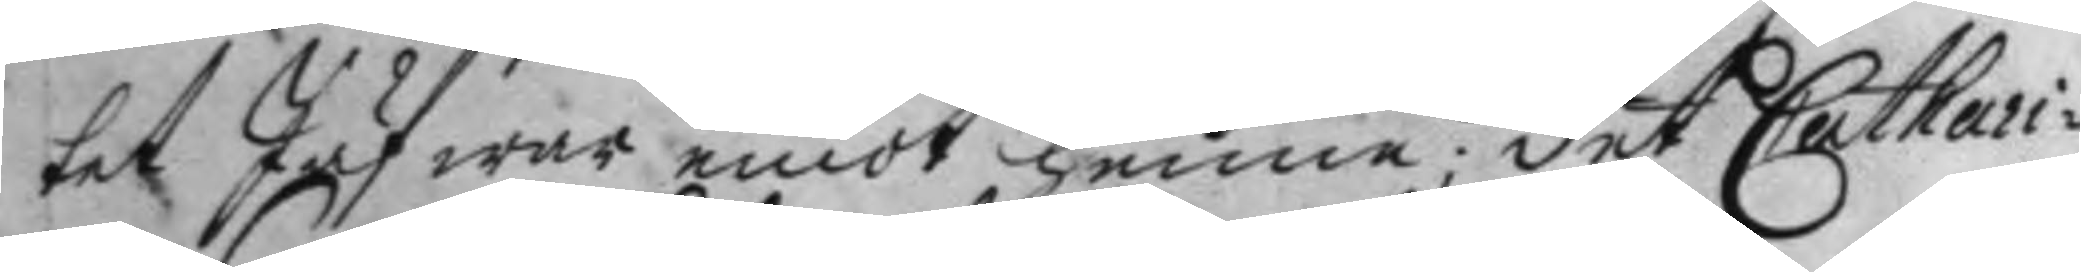tet Jäf war emot henne; det Cathari¬
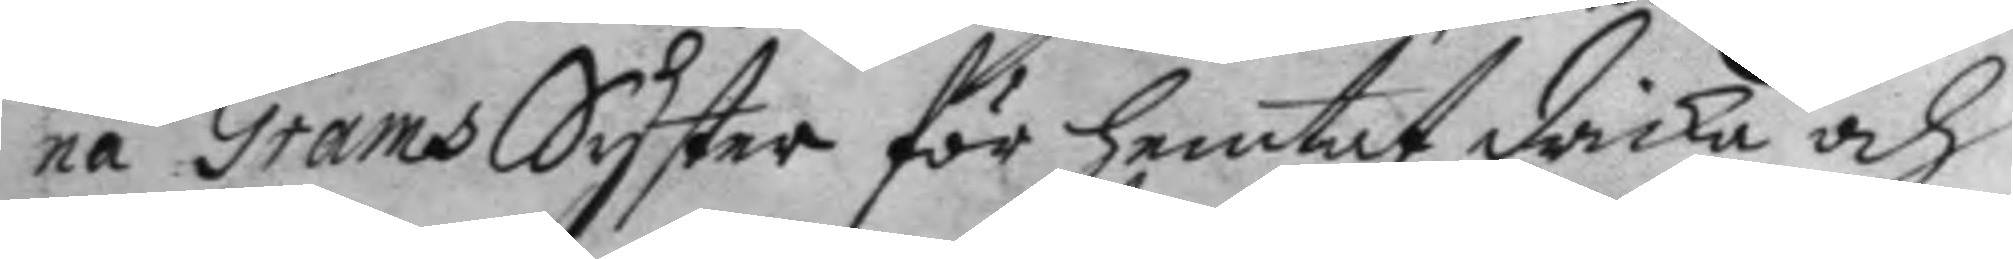na Grams Syster för hemtat dricka och
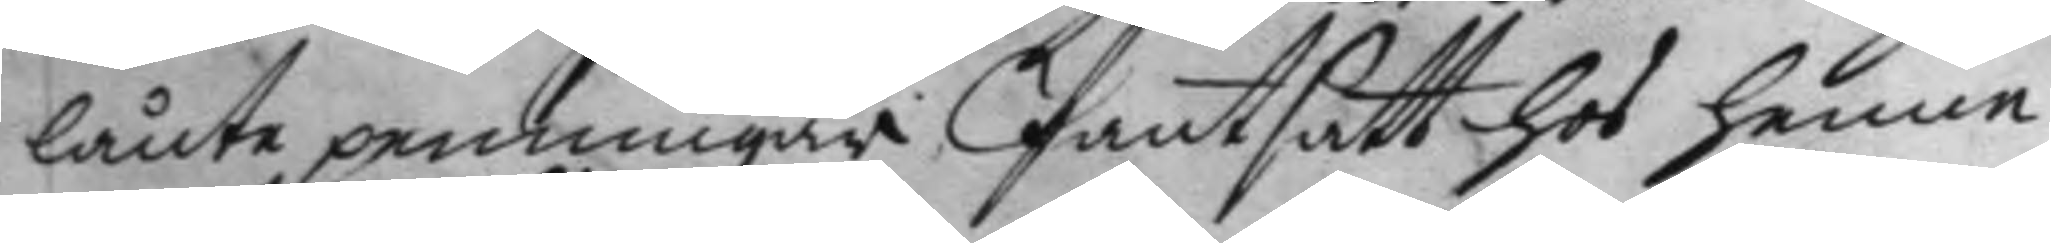lånte penningar Pantsätt hos henne
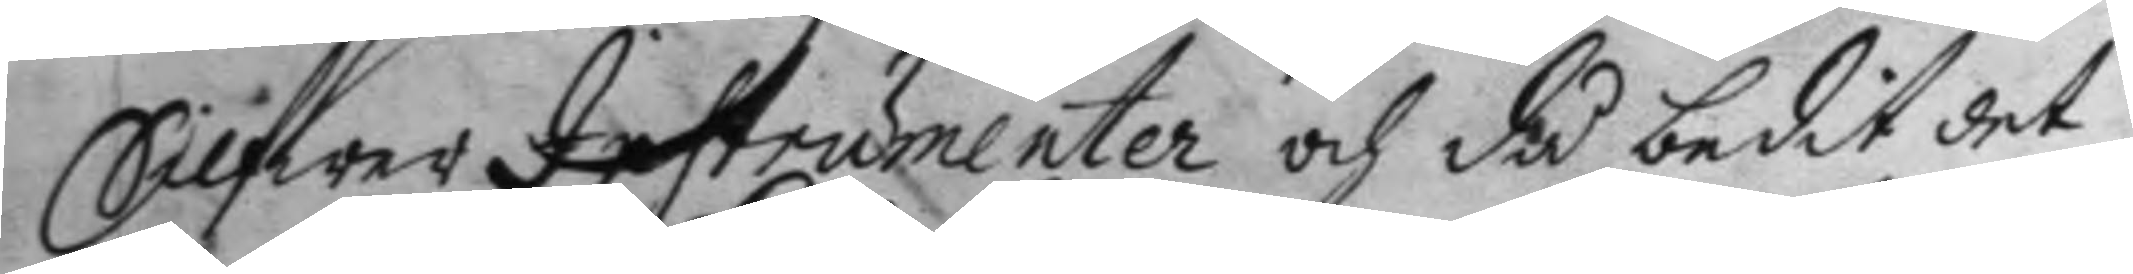Silfwer Instrumenter och då bedit det
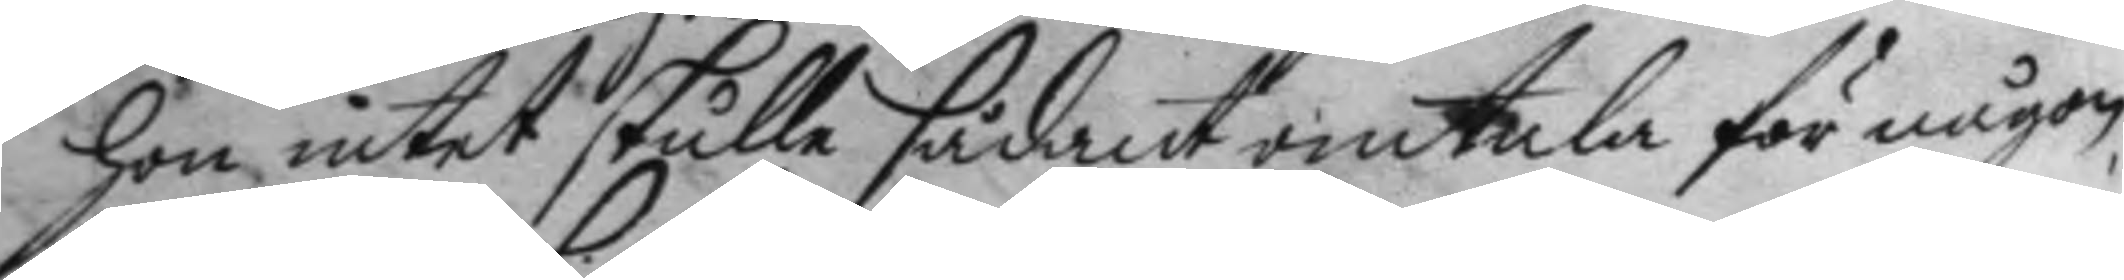hon intet skulle sådant omtala för någon
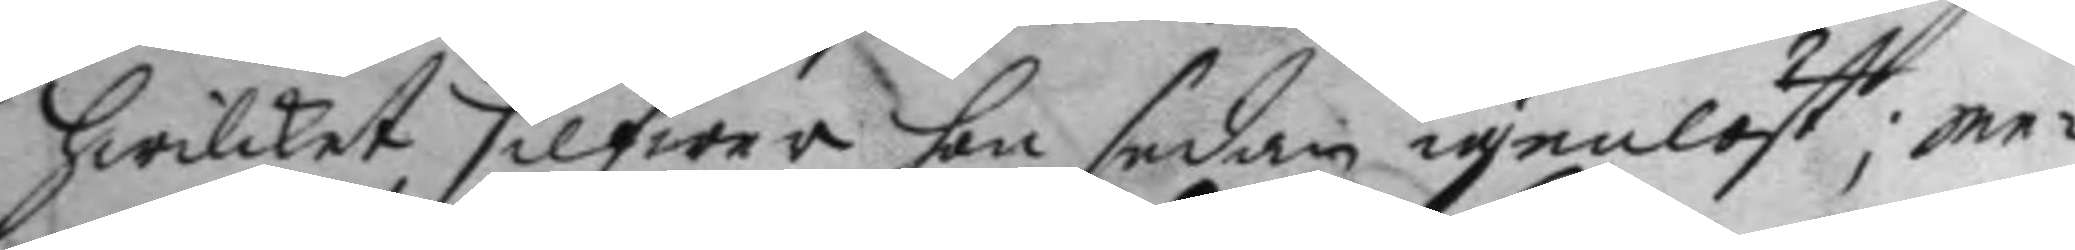hwilket silfwer hon sedan igenlöst; me¬
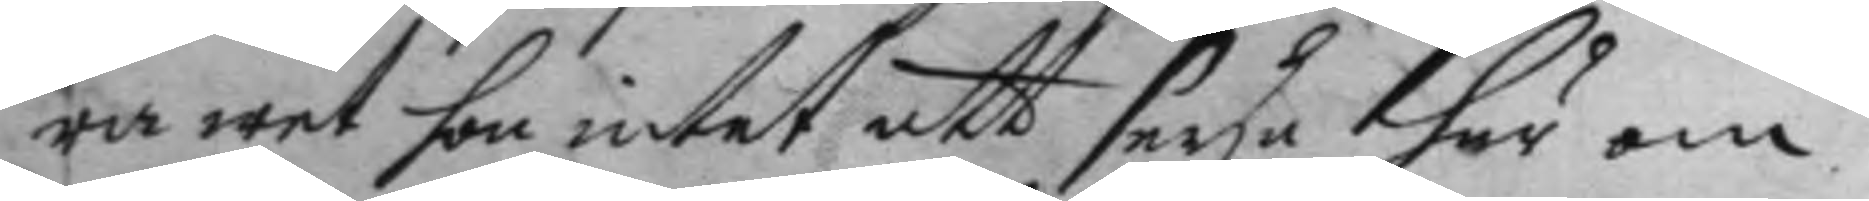ra wet hon intet att seya här om.
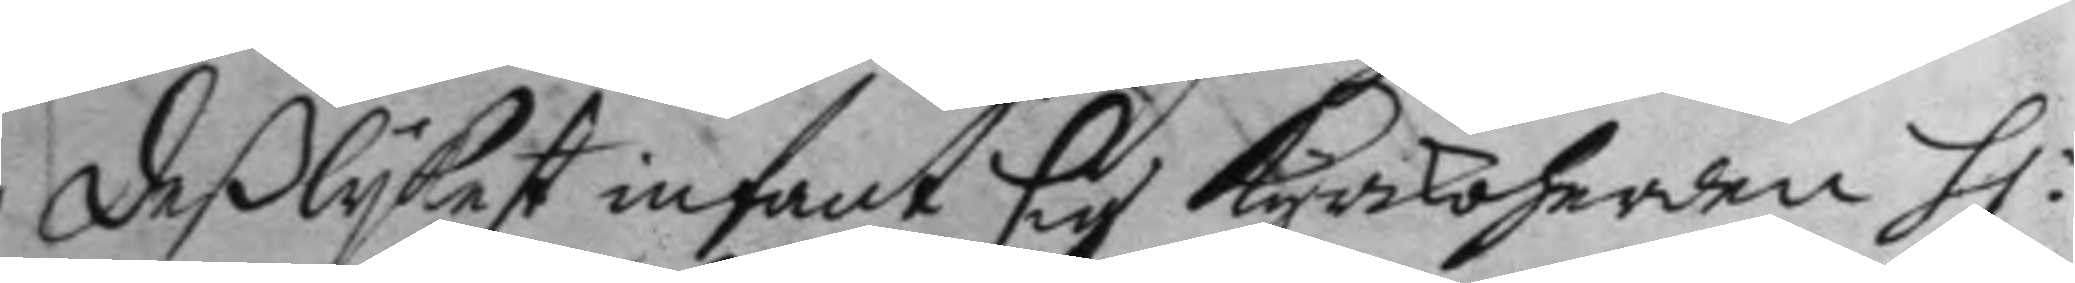deßlykest infant sig Kyrkoherden H:
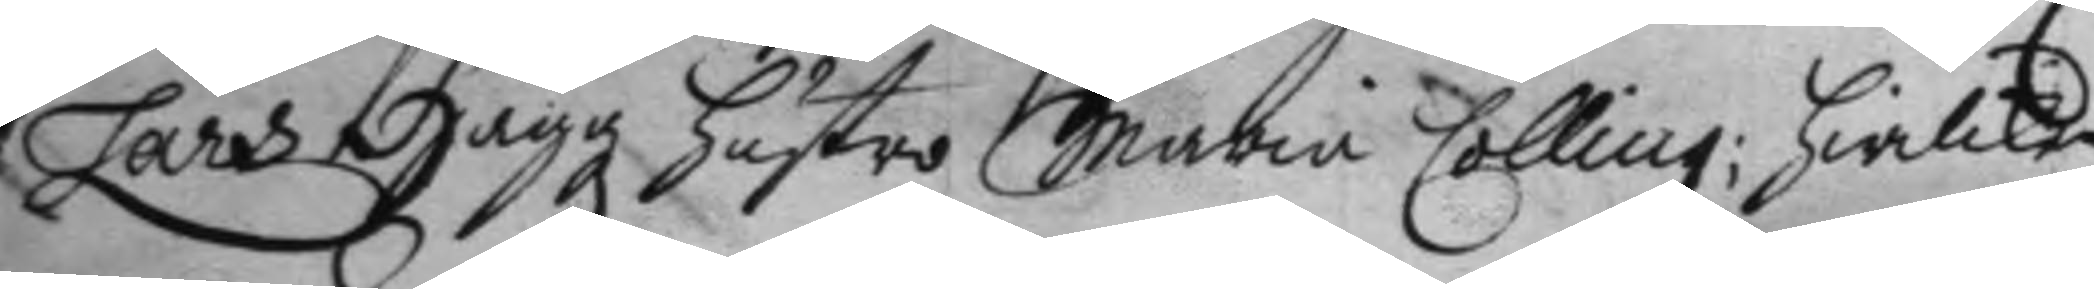Lars Hugg hustro Maria Colling; hwilken
